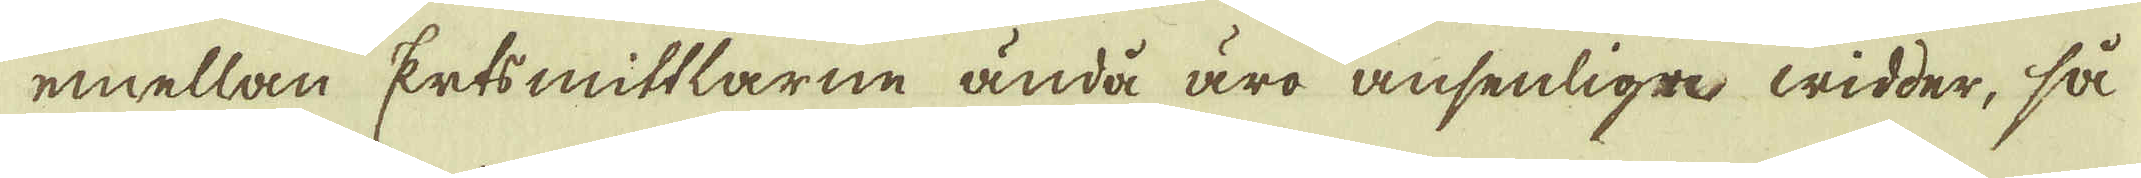emellan Ertsmittlarne ända äro ansenlige widder, så
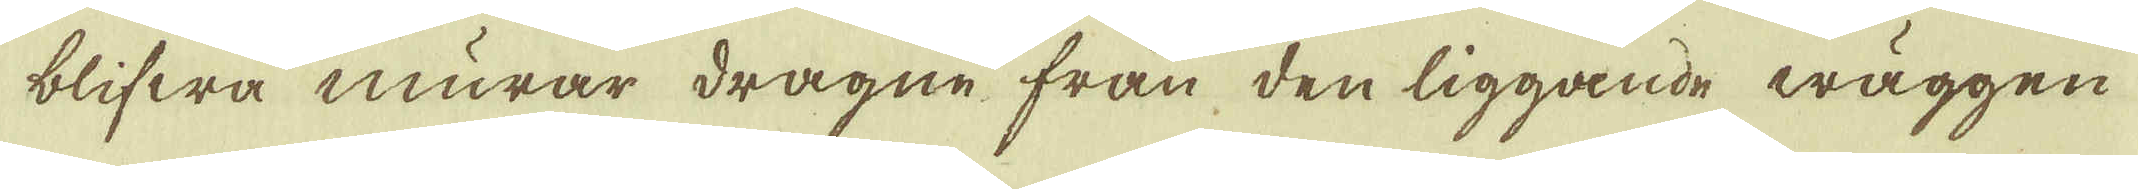blifwa murar dragne från den liggande wäggen
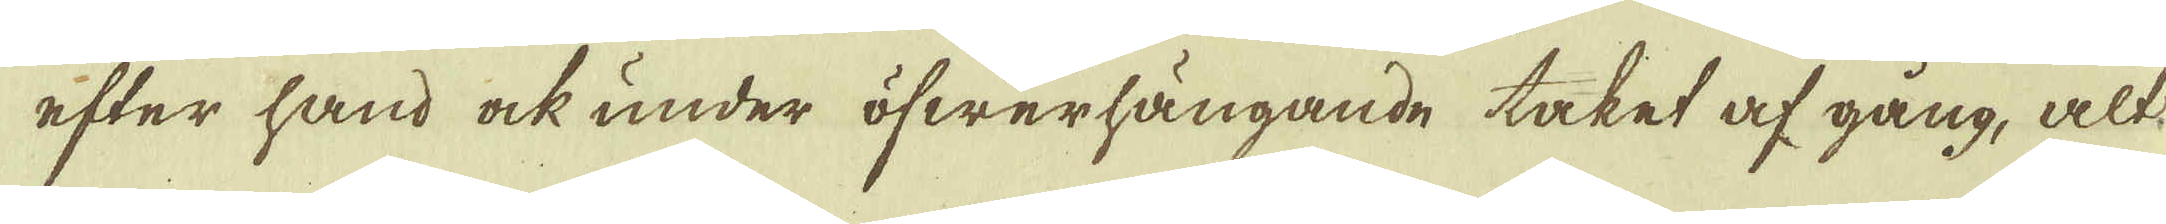efter hand ock under öfwerhängande taket af gång, alt
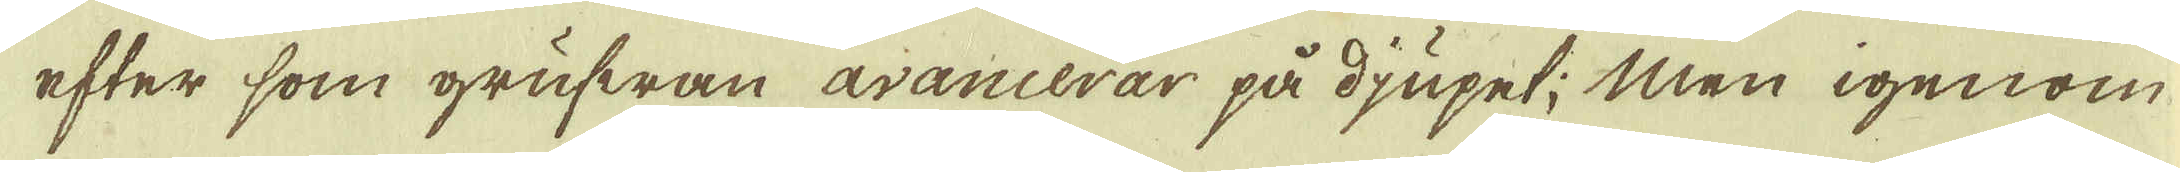efter som grufwan avancerar på djupet; Men igenom
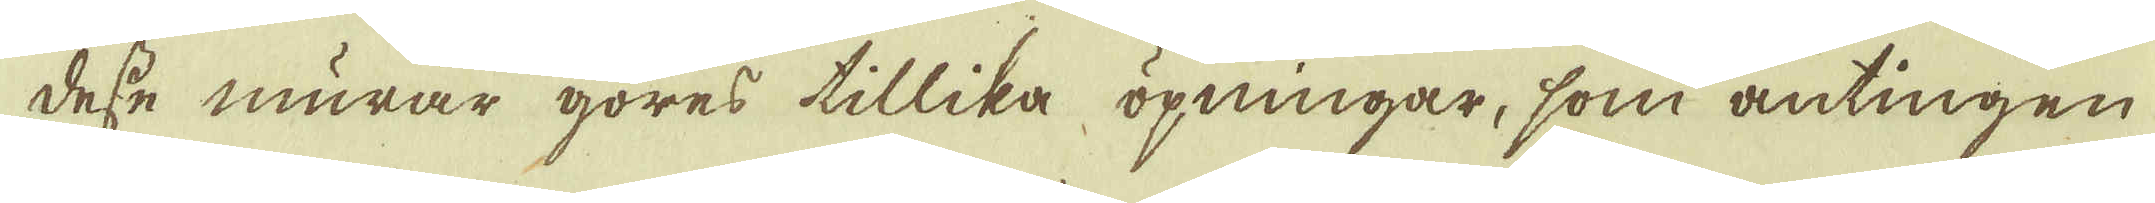desse murar göres tillika öpningar, som antingen
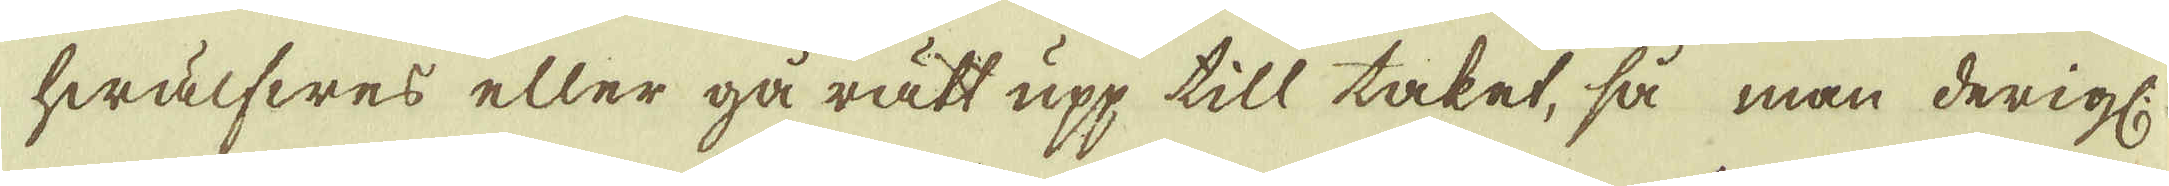hwälfwes eller gå rätt upp till taket, så man derigl.
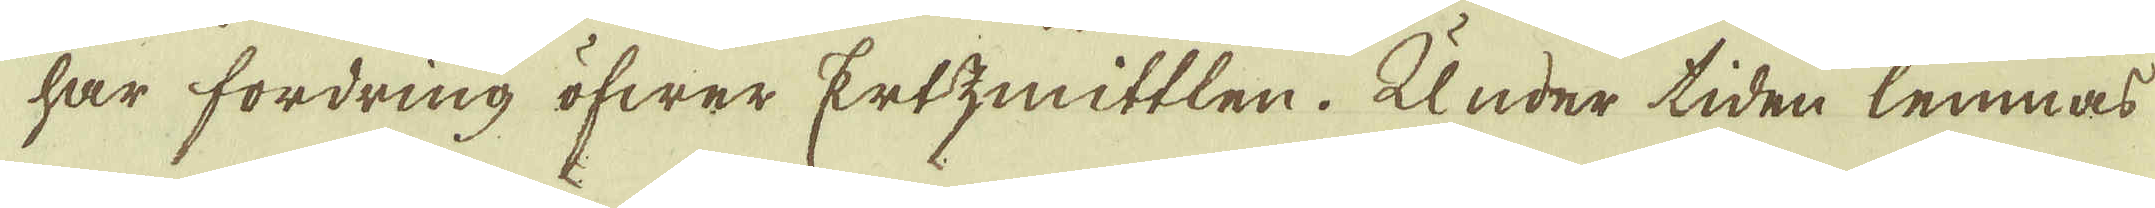har fordring öfwer Ertzmittlen. Under tiden lemnar
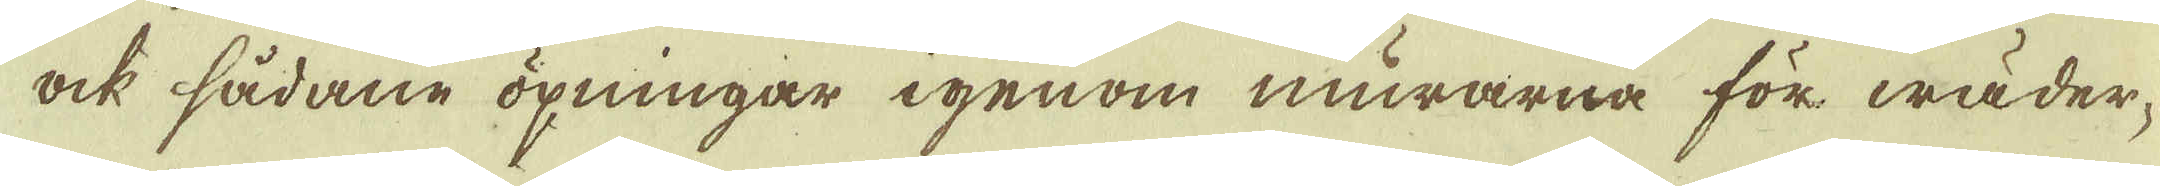ock sådane öpningar igenom murarna för wäder-
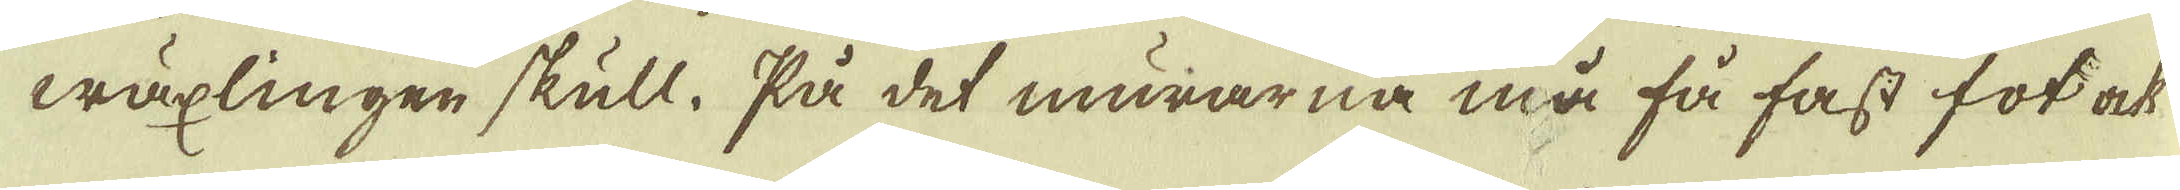wäxlingen skull. På det murarna må få fast fot ock
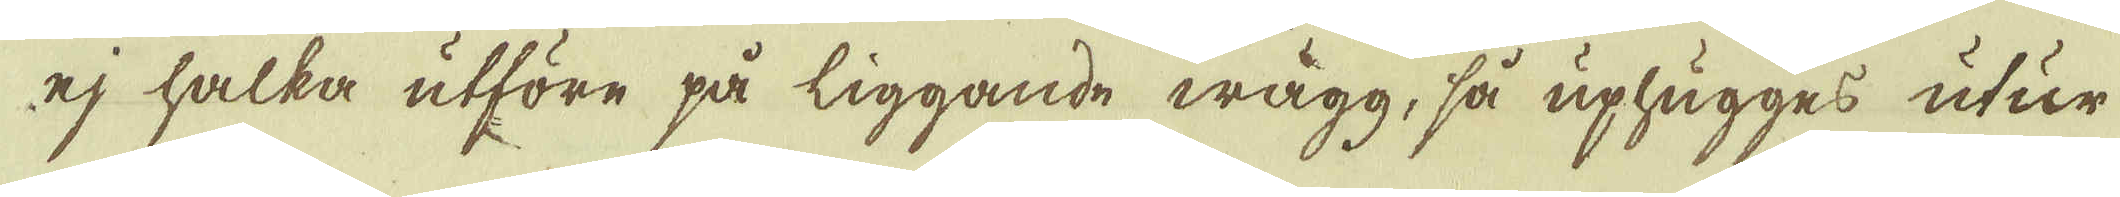ej halka utföre på liggande wägg, så uplägges utur
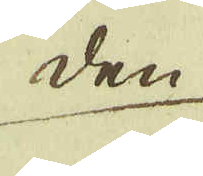den
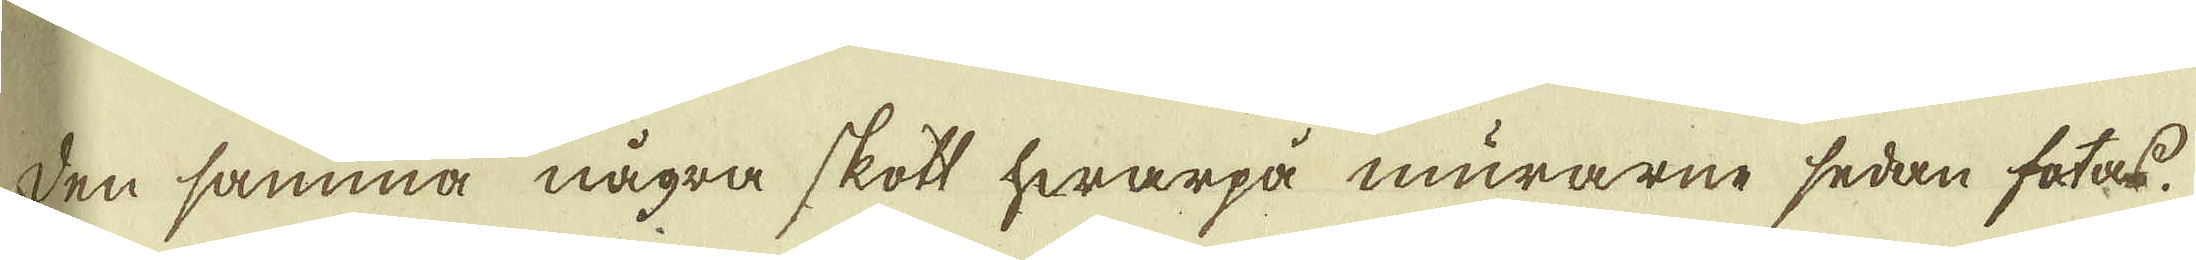den samma några skott hwarpå murarne sedan fotas.
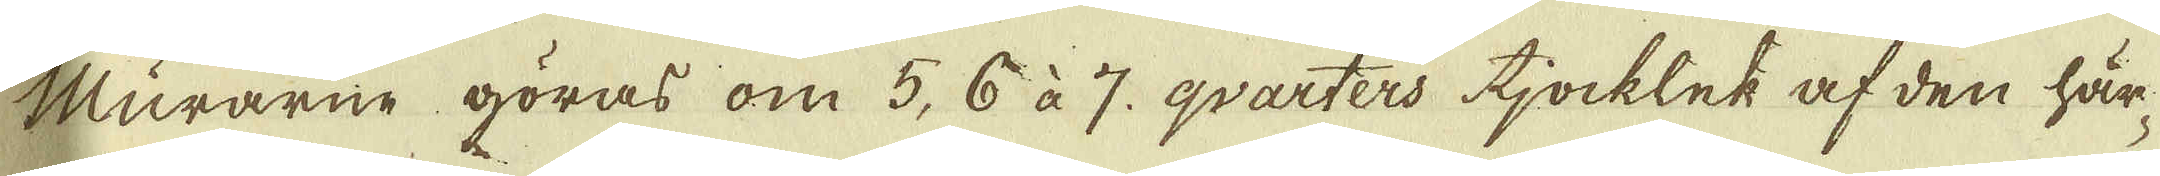Murarne göras om 5, 6 à 7. qvarters tjocklek af den här-
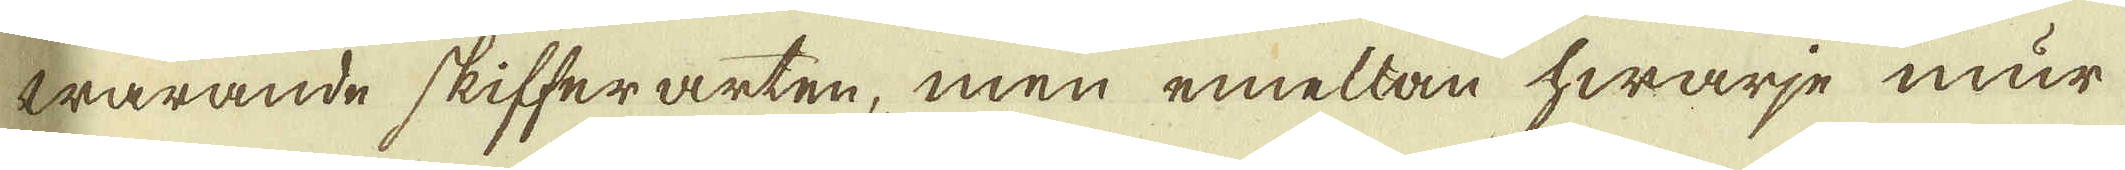warande skifferarten, men emellan hwarje mur
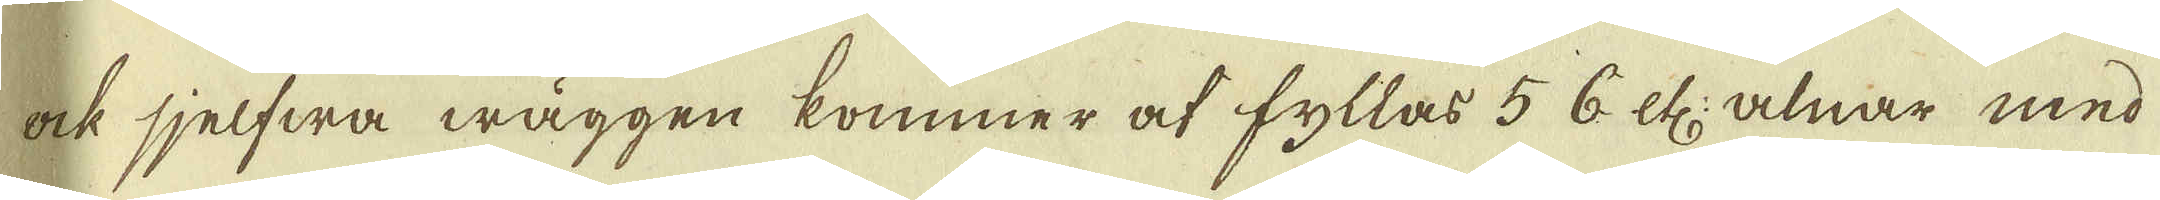ock sjelfwa wäggen kommer af fyllas 5 6 etc: alnar med
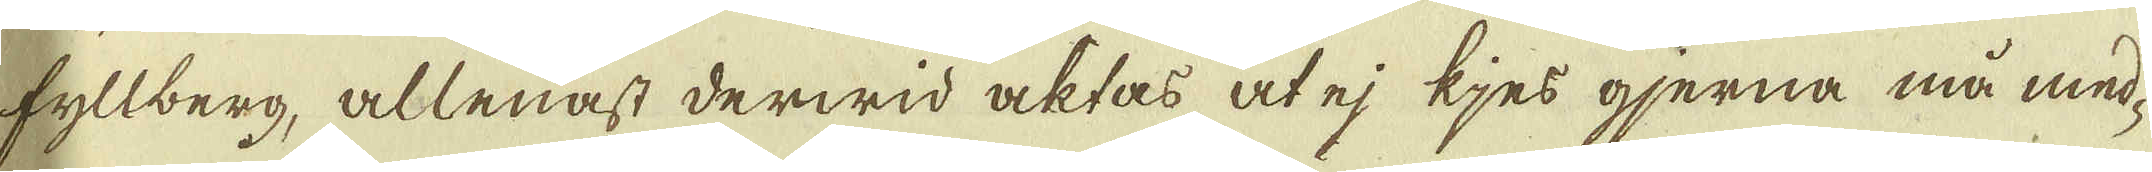fyllberg, allenast derwid acktas at ej kjer gjerna må med-
